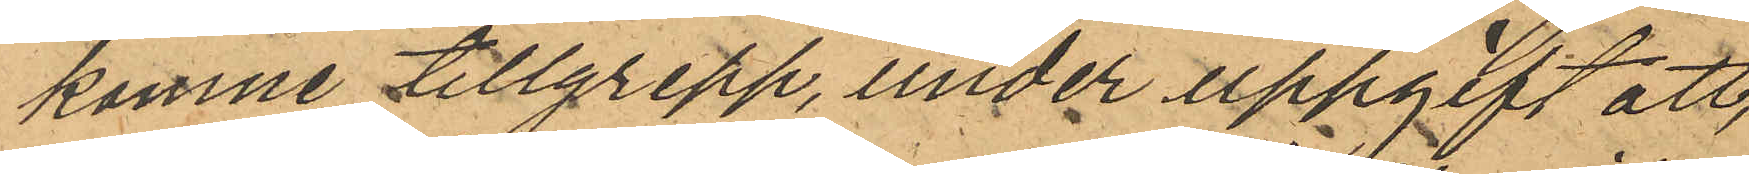komne tillgrepp, under uppgift att,
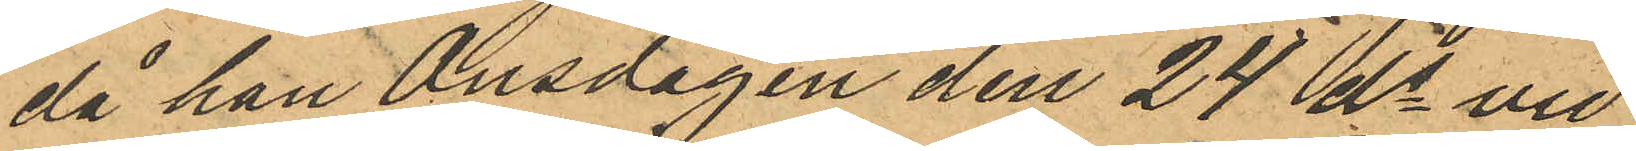då han Onsdagen den 24 ds vid
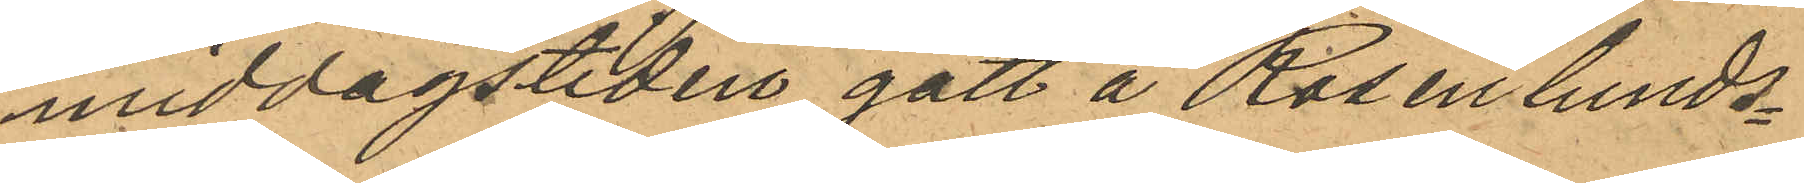middagstiden gått å Rosenlunds¬
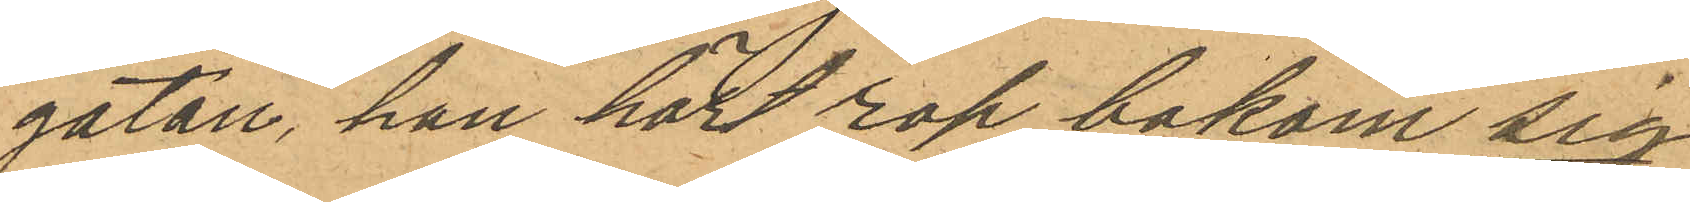gatan, han hört rop bakom sig
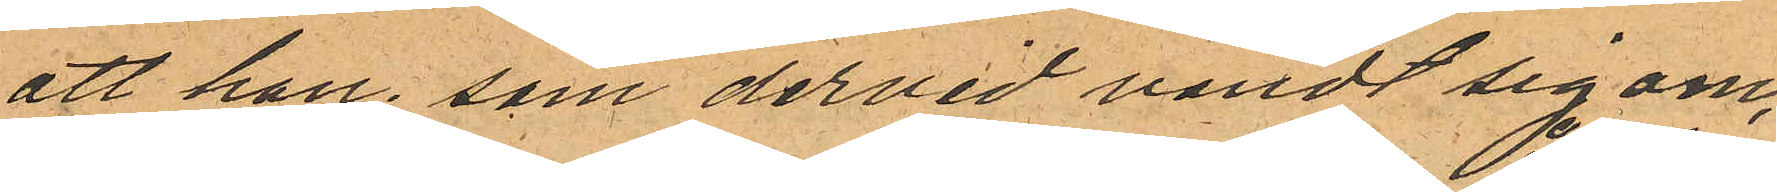att han, som dervid vändt sig om,
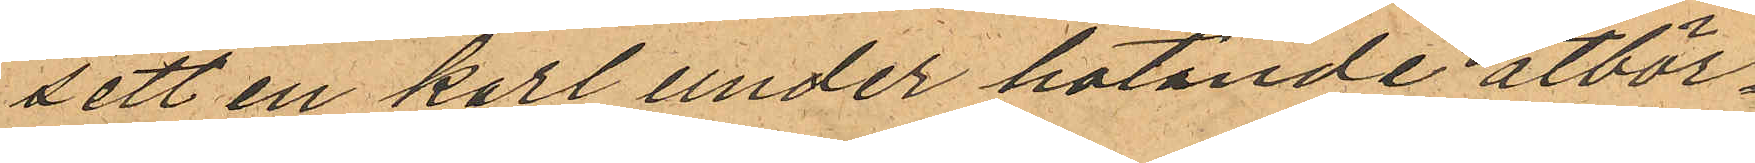sett en karl under hotande åtbör¬
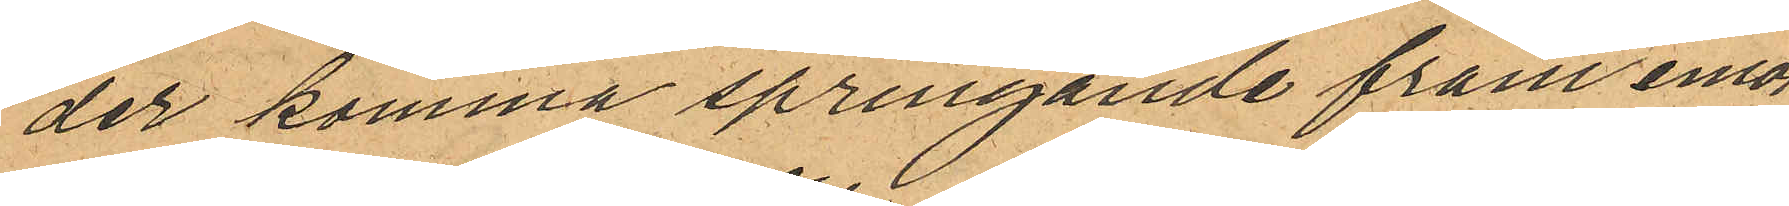der komma springande fram emot
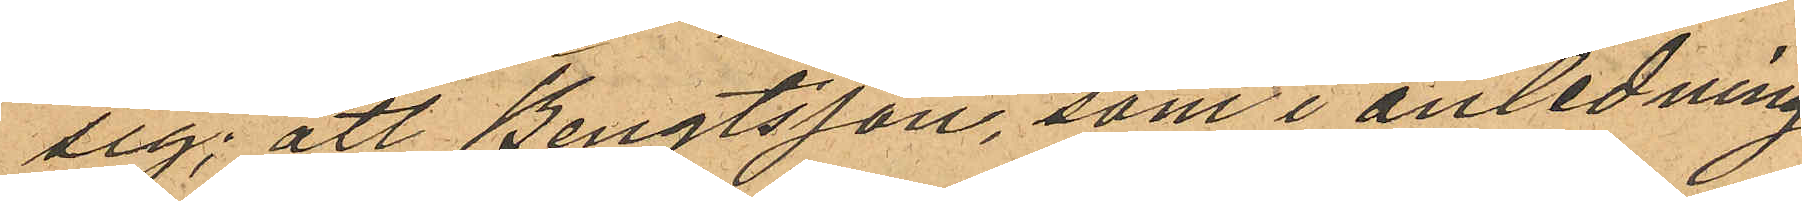sig; att Bengtsson, som i anledning
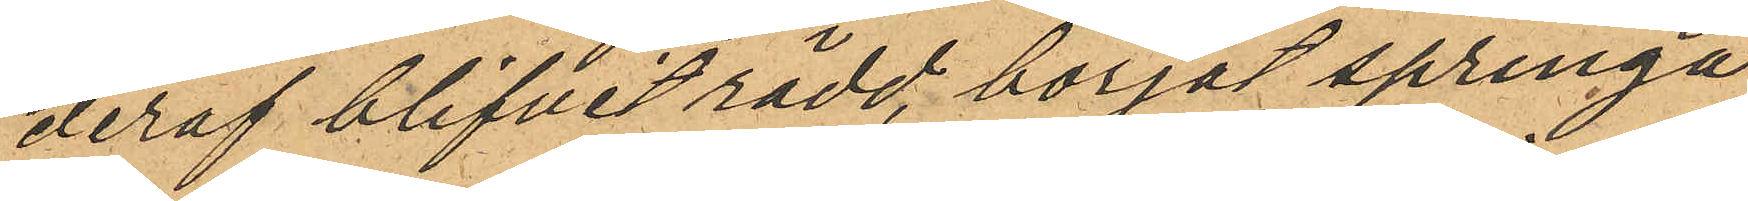deraf blifvit rädd, börjat springa
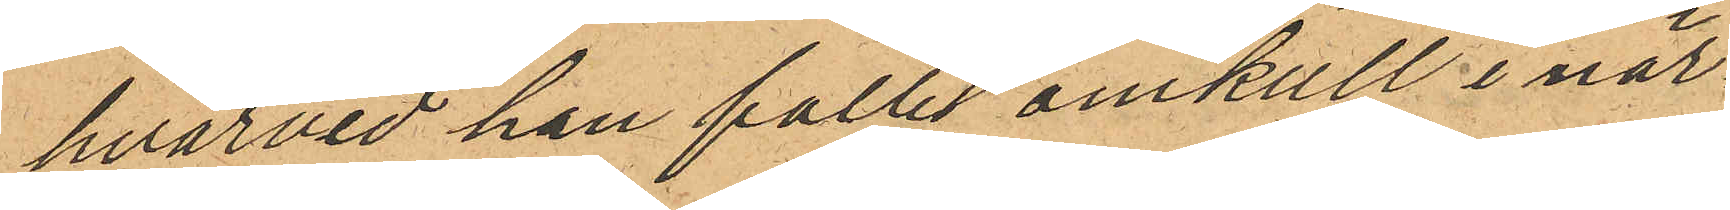hvarvid han fallit omkull i när¬
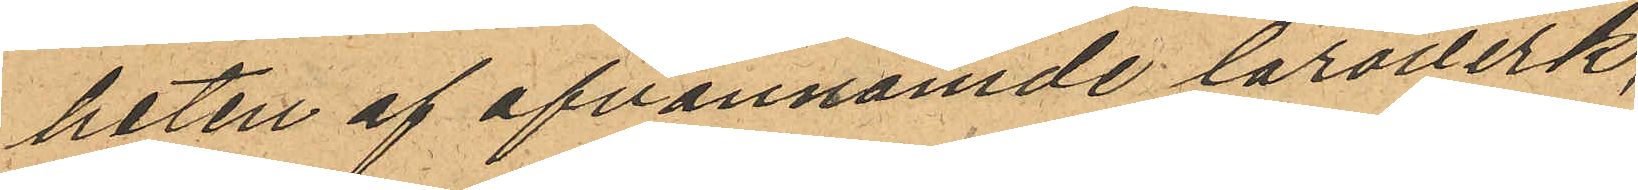heten af ofvannämde läroverk
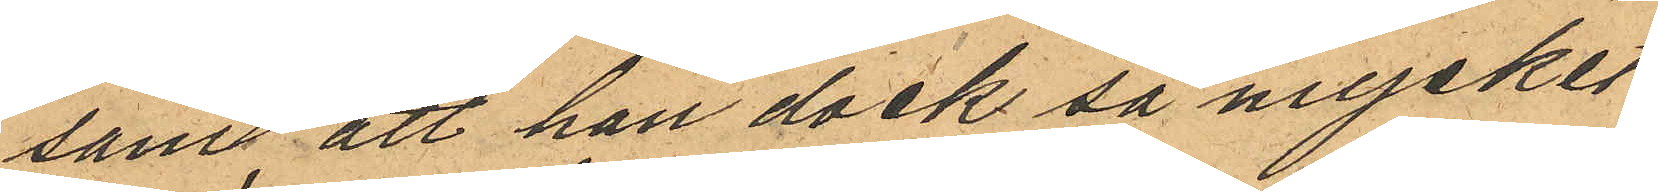samt att han dock så mycket
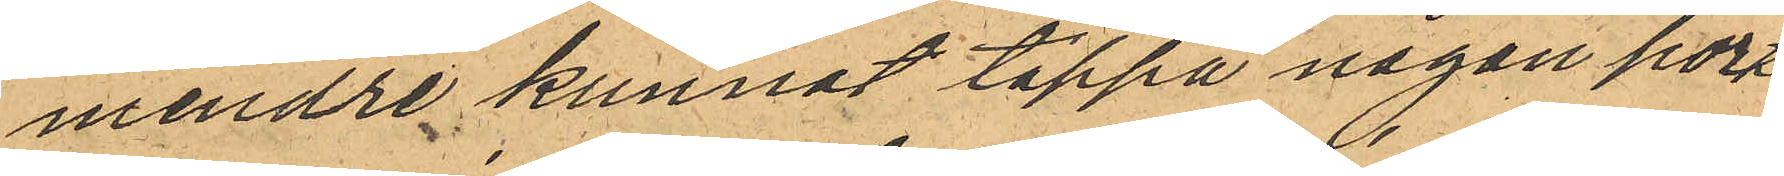mindre kunnat tappa någon porte¬
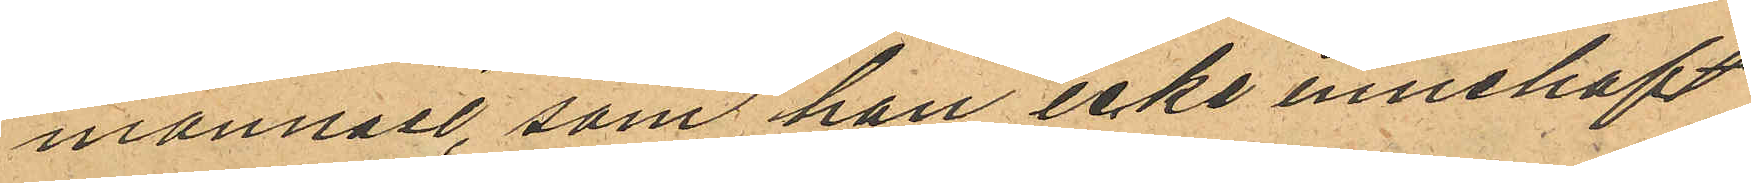monnaie, som han icke innehaft
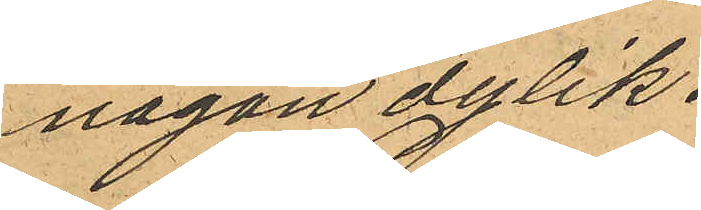någon dylik.
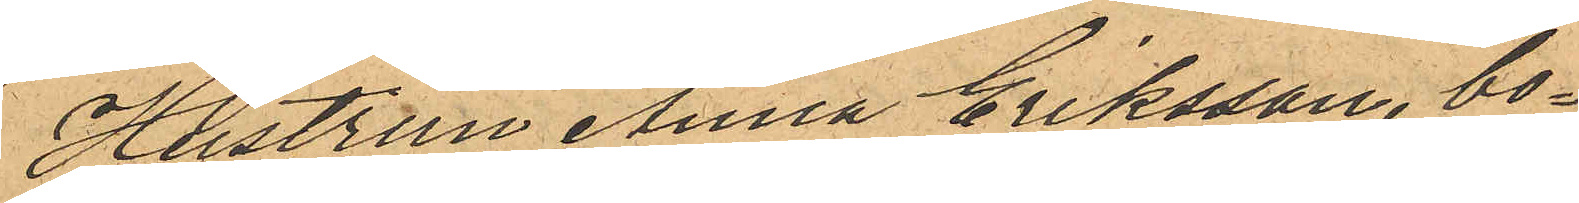Hustrun Anna Eriksson, bo¬
